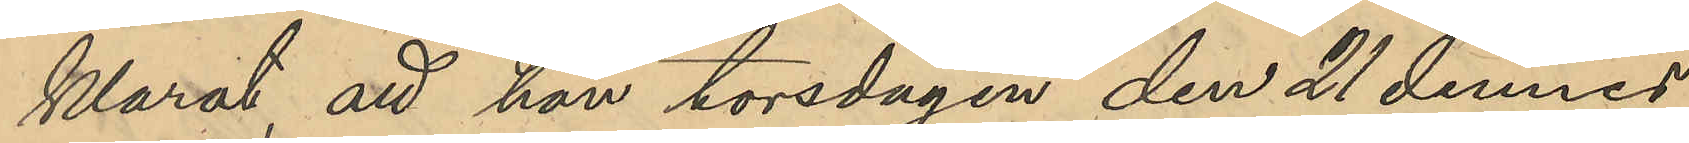klarat, att han torsdagen den 21 dennes
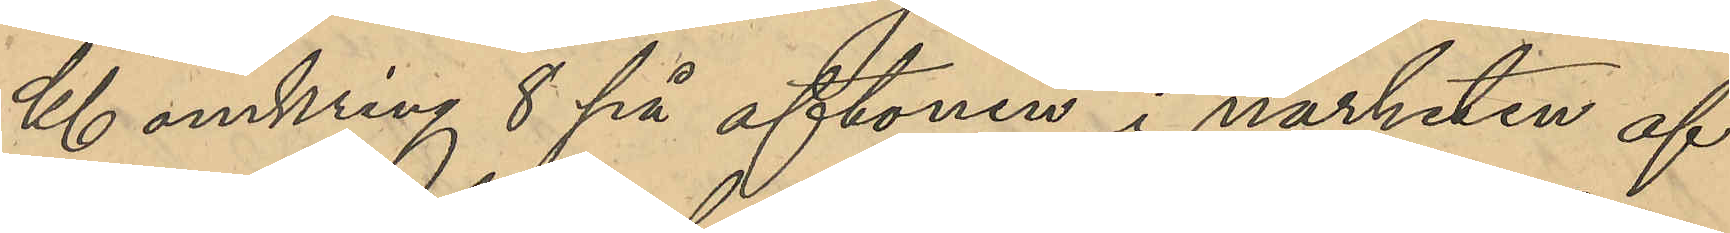Kl omkring 8 på aftonen i närheten af
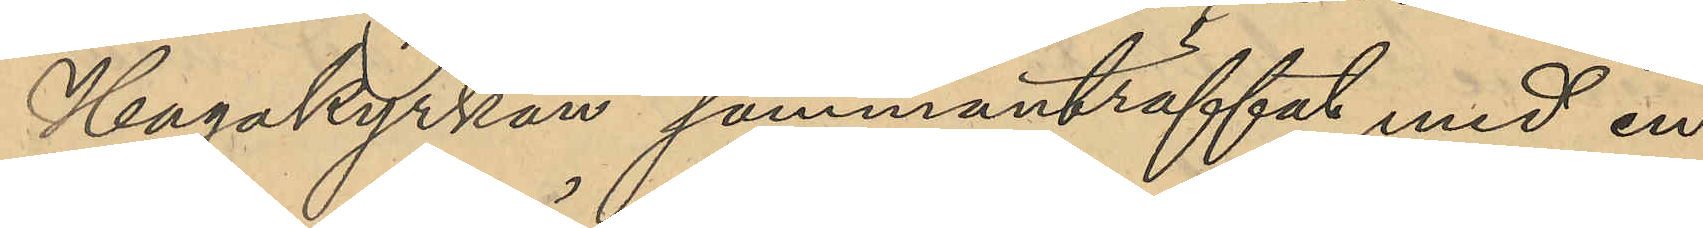Hagakyrkan sammanträffat med en
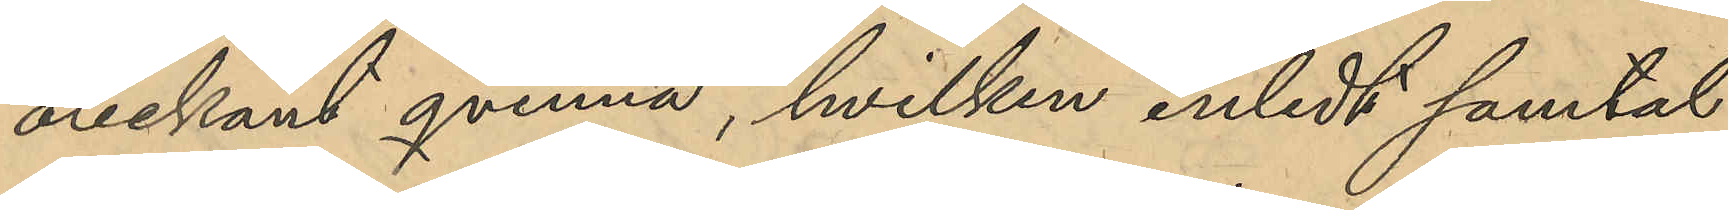obekant qvinna, hvilken inledt samtal
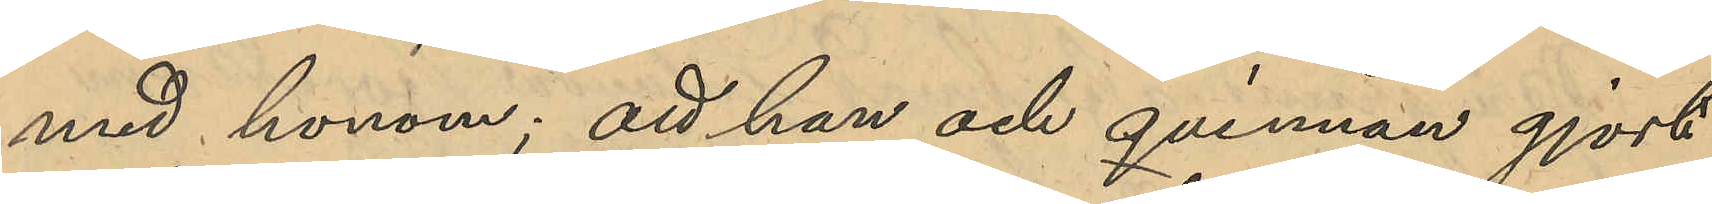med honom; att han och qvinnan gjort
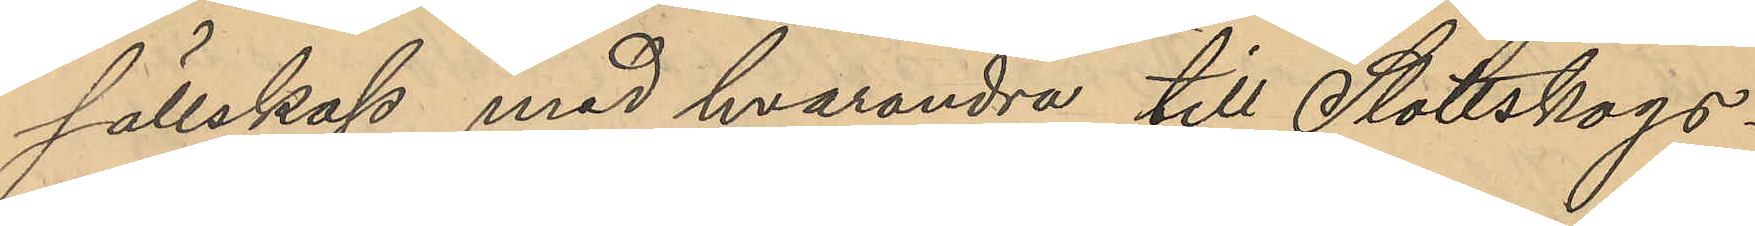sällskap med hvarandra till Slottskogs¬
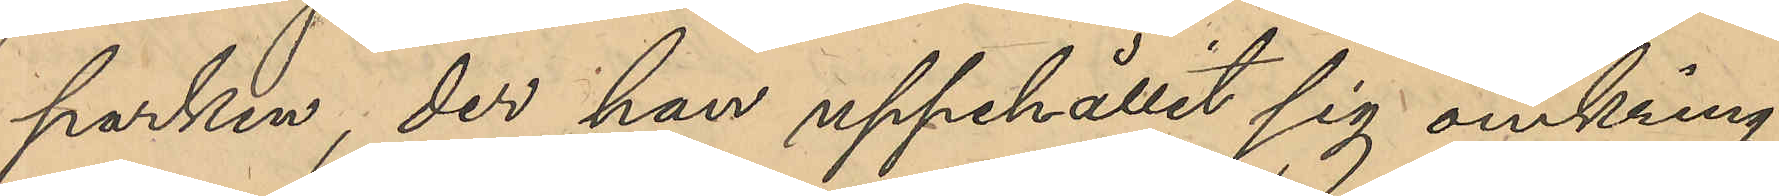parken, der han uppehållit sig omkring
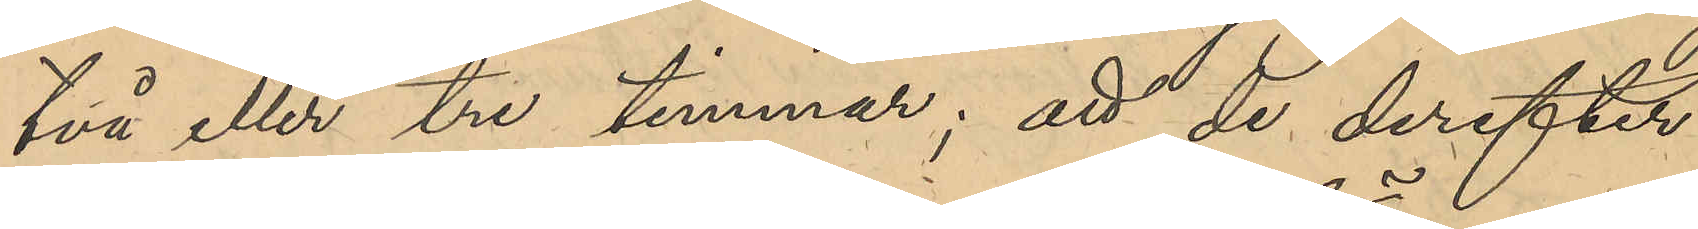två eller tre timmar; att de derefter
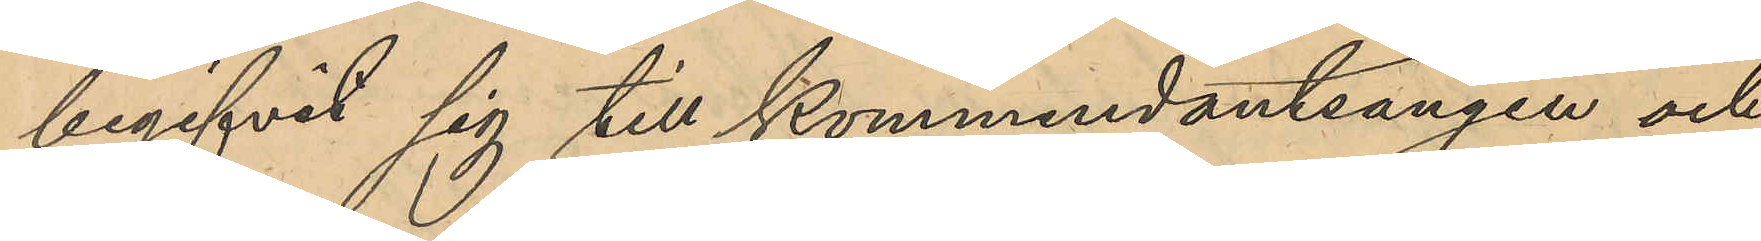begifvit sig till Kommendantsängen och
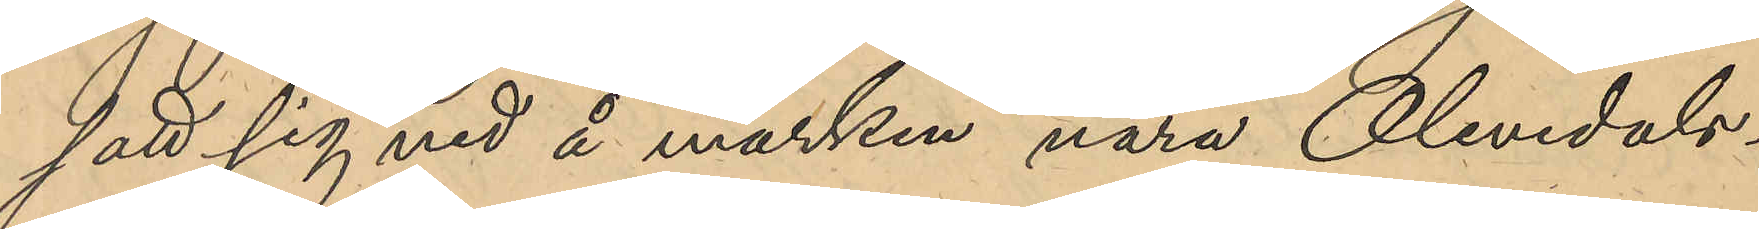satt sig ned på marken nära Olivedals¬
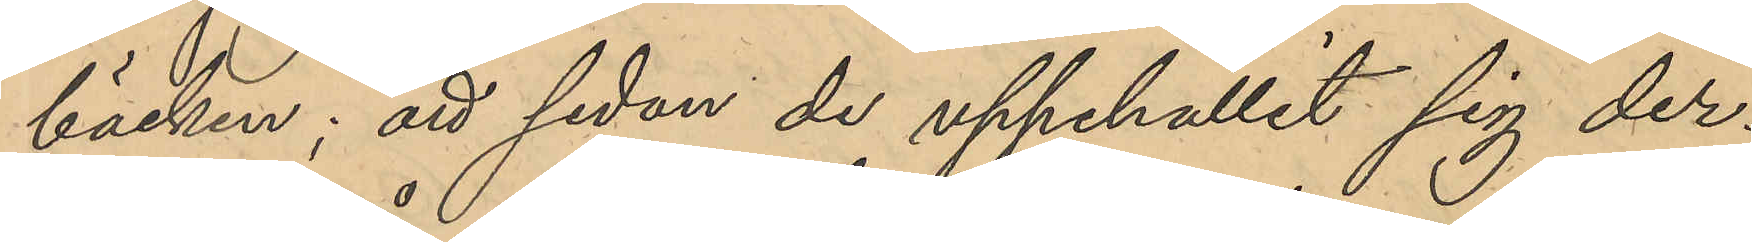bäcken; att sedan de uppehållit sig der¬
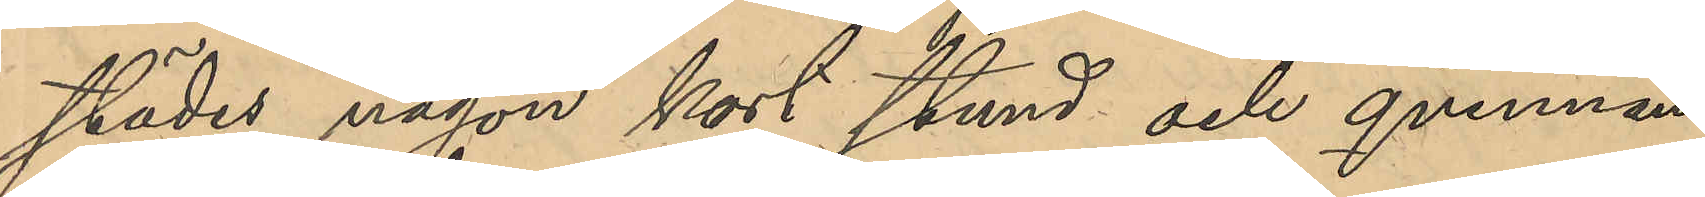städes någon kort stund och qvinnan
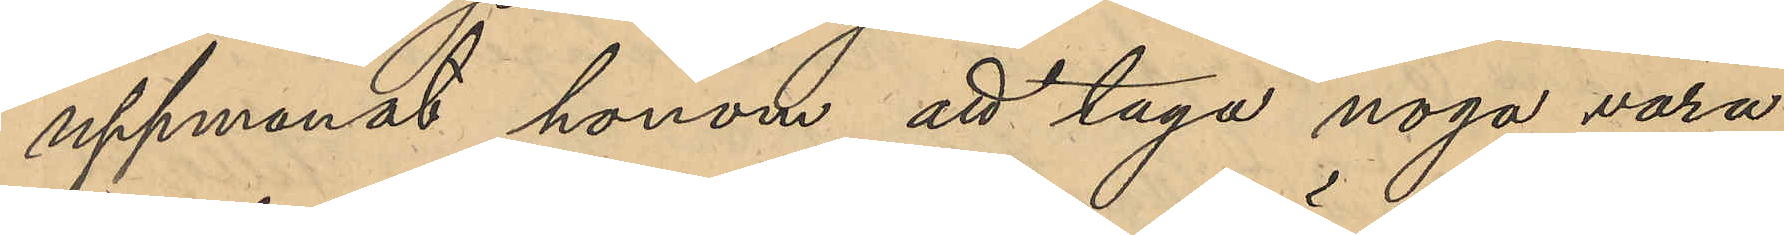uppmanat honom att taga noga vara
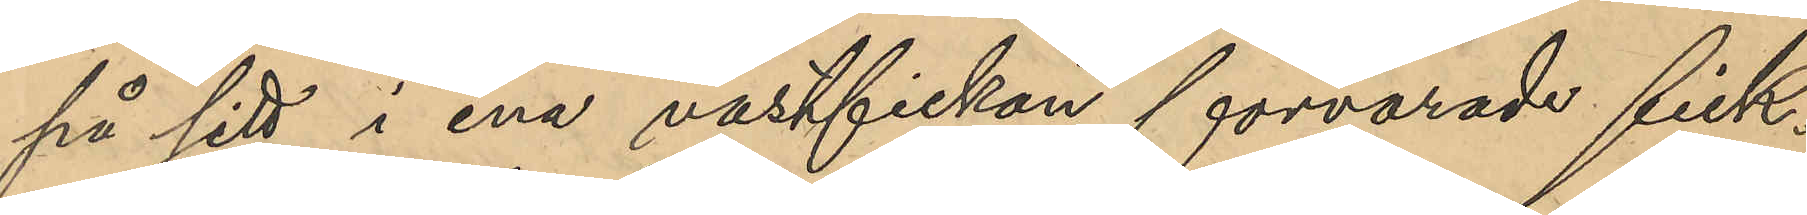på sitt i ena västfickan förvarade fick¬
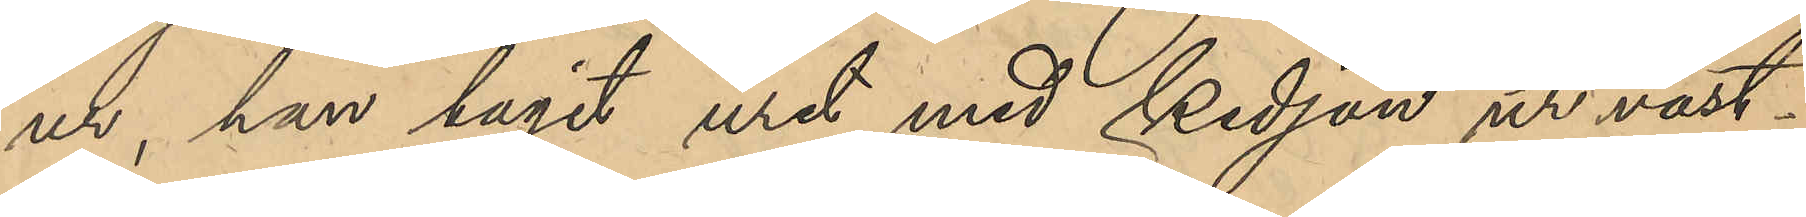ur, han tagit uret med kedjan ur väst¬
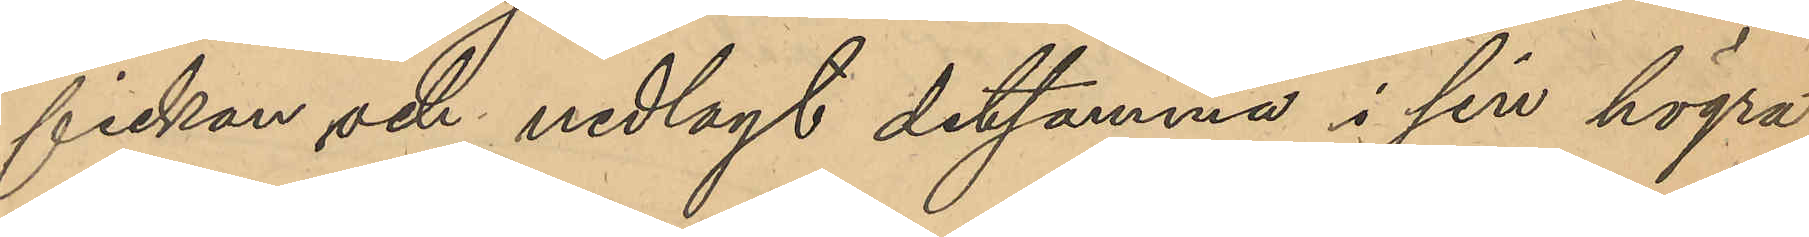fickan och nedlagt detsamma i sin högra
